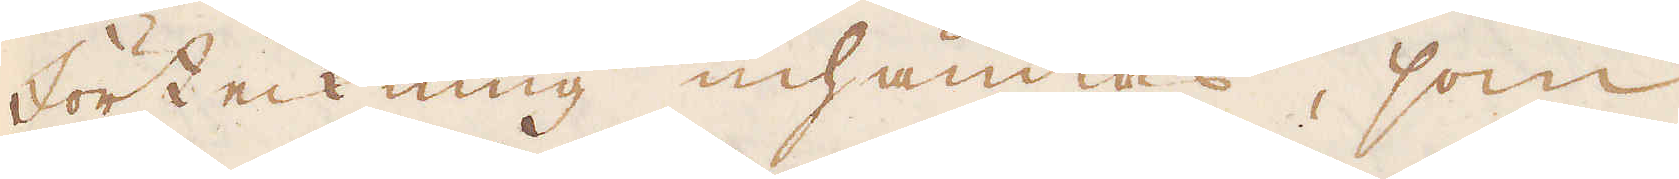förteckning inhämtas, som
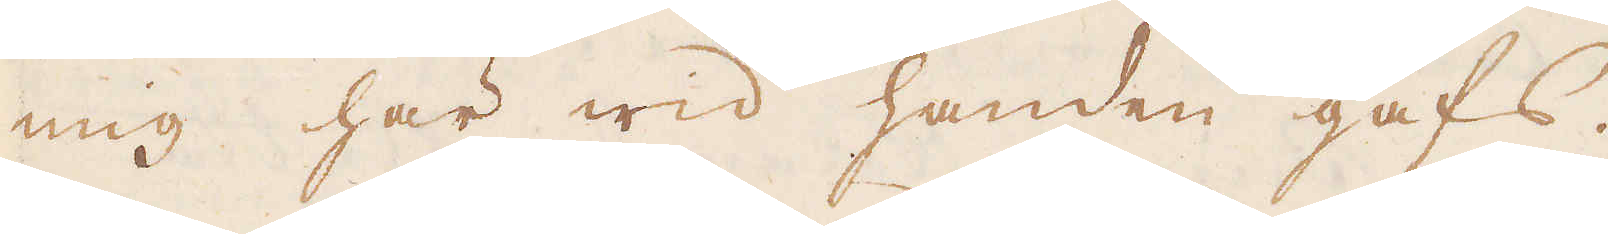mig här wid handen gafs.
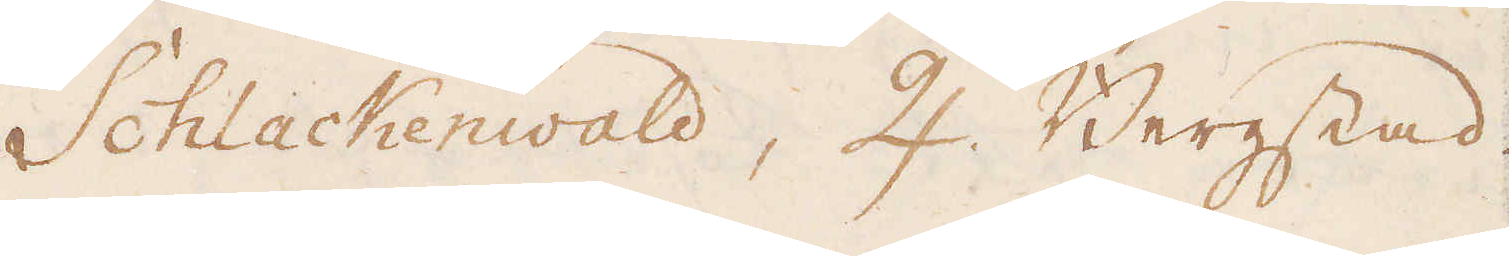Schlackenwald, ♃ Bergstad.
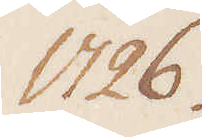1726.
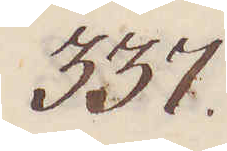337
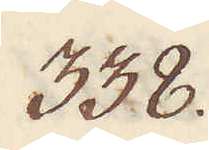338.
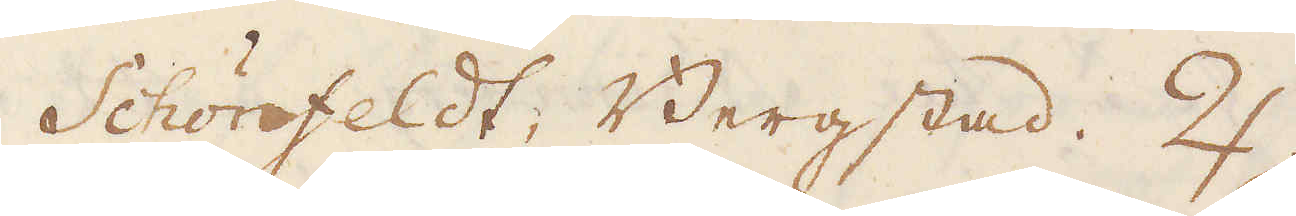Schönfeldt, Bergstad. ♃.
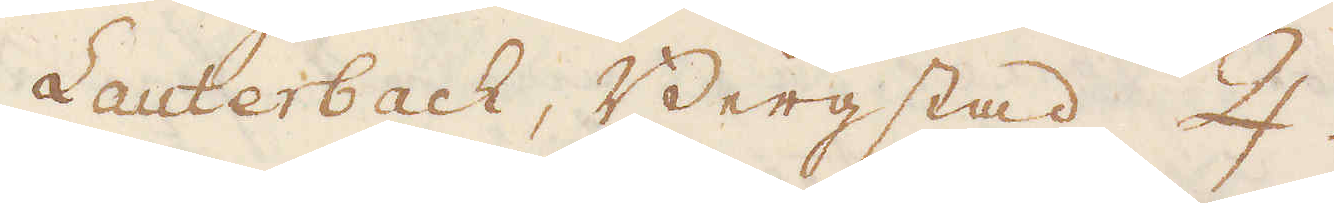Lauterbach, Bergstad ♃.
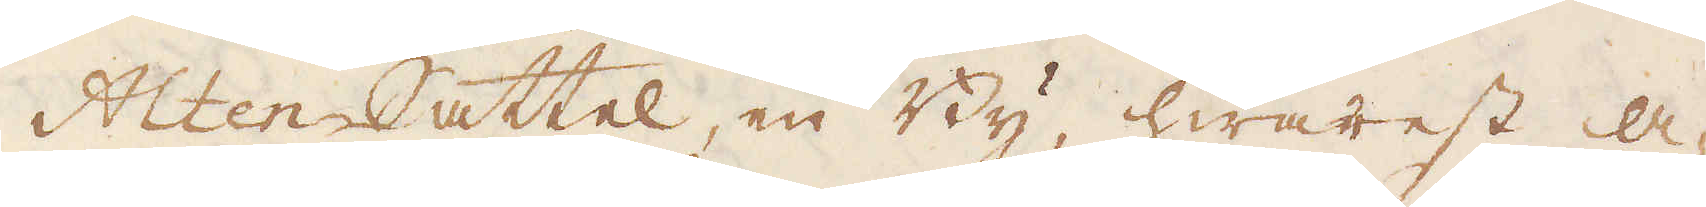Alten Sattel, en By, hwarest A-
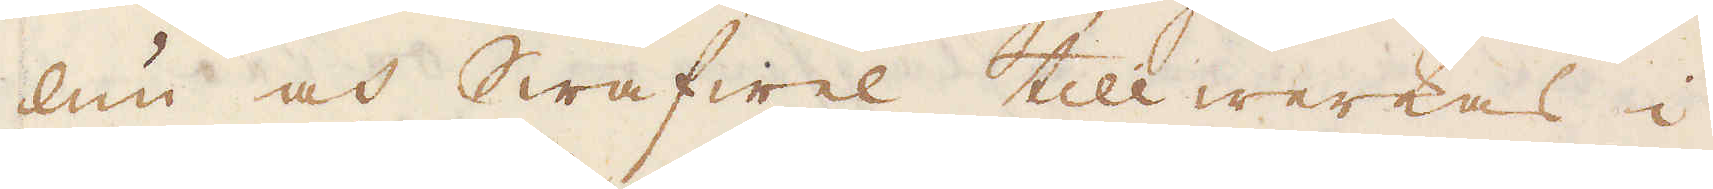lun och Swafwel tillwerkas i
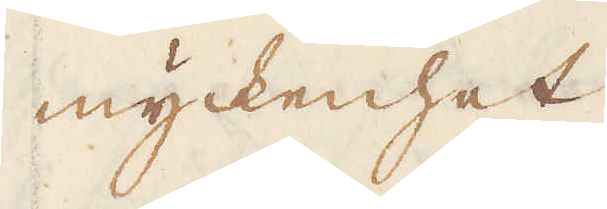myckenhet
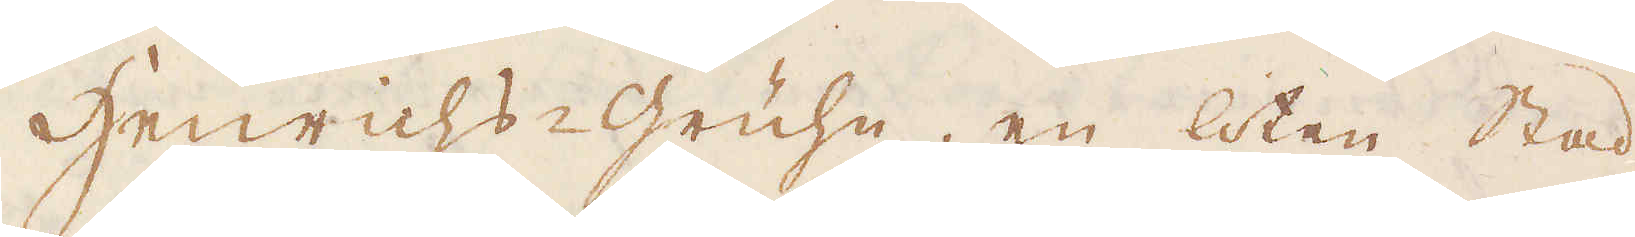Henrichs-gruhn, en liten Stad
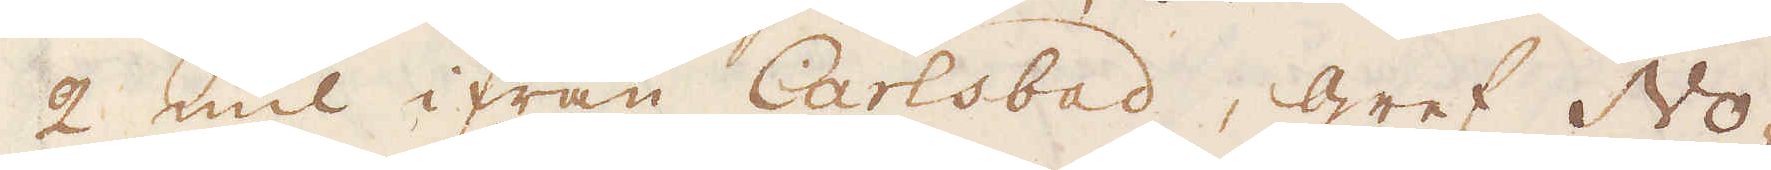2 mil ifrån Carlsbad, gref No-
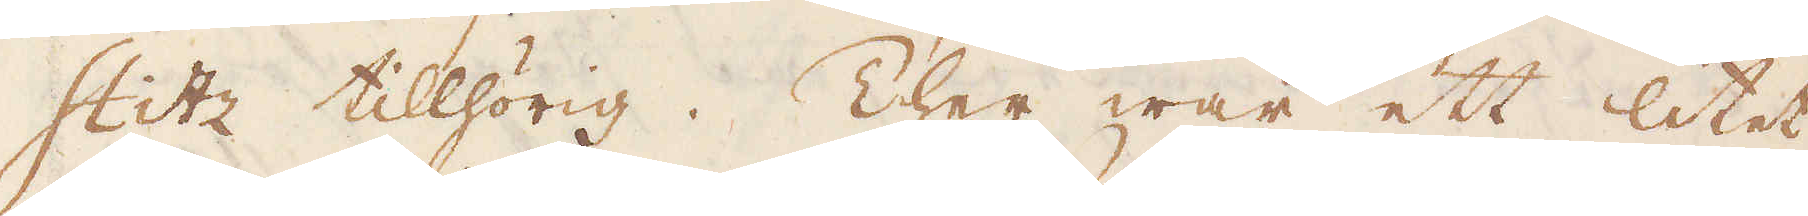stitz tillhörig. Ther war ett litet
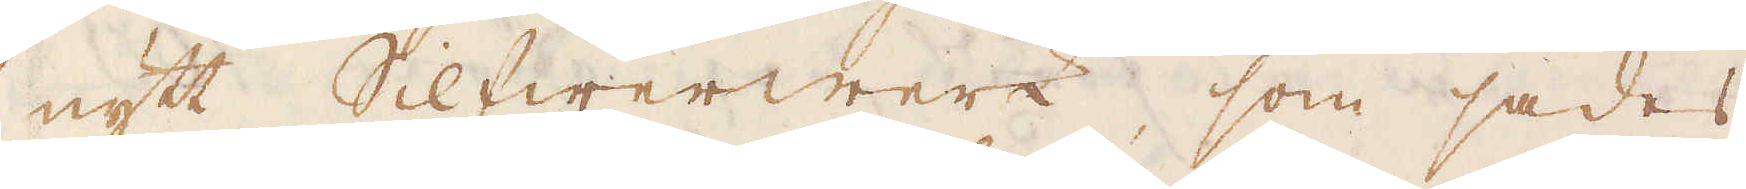nytt Silfwerwerk, som sades
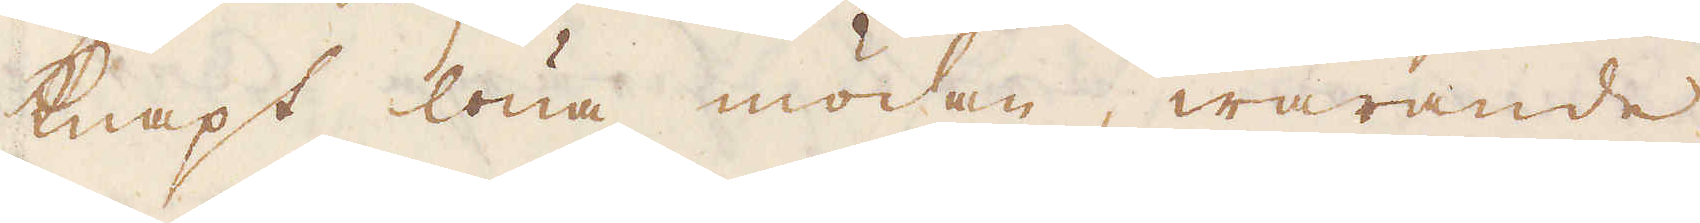knapt löna mödan, warande
